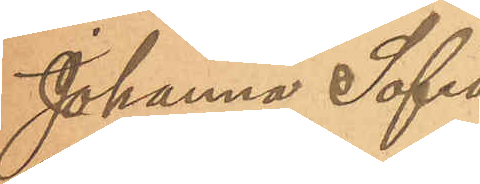Johanna Sofia
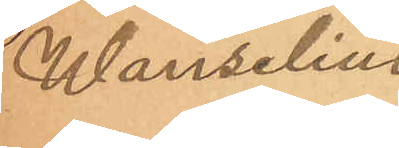Wanselius.
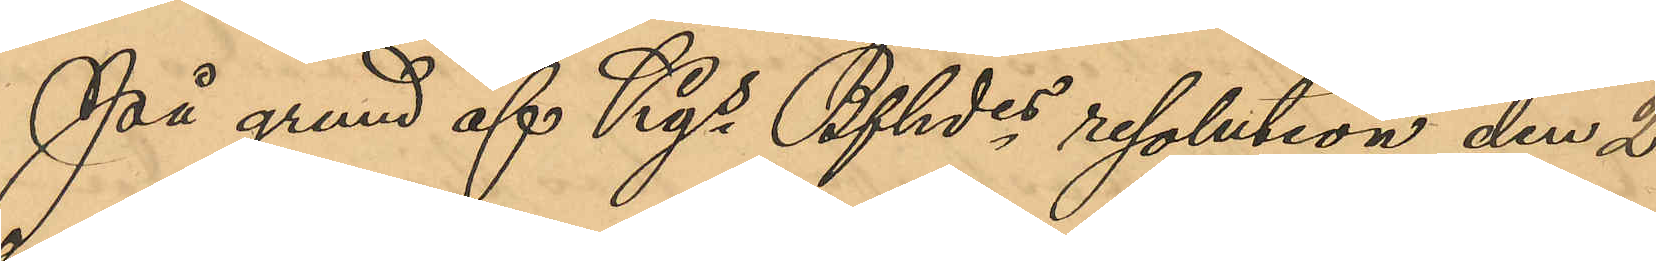På grund af Kgs Bfhdes resolution den 2
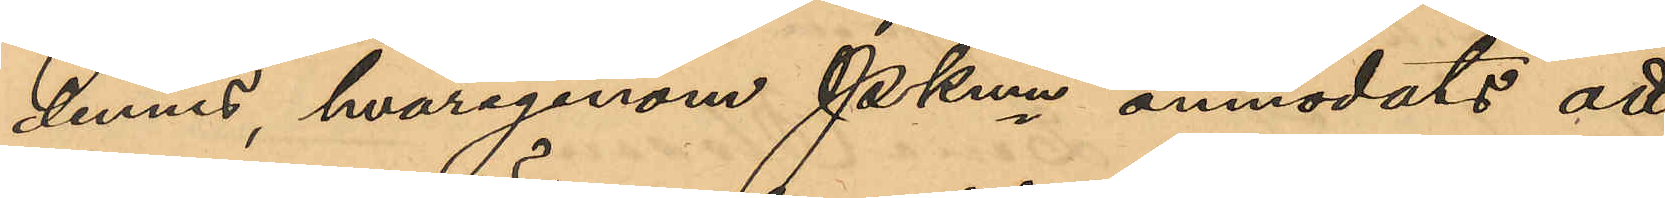dennes, hvarigenom PKmn anmodats att
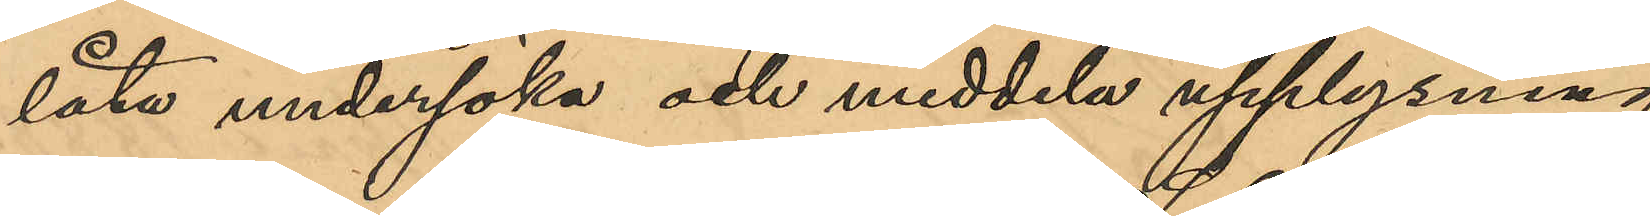låta undersöka och meddela upplysning
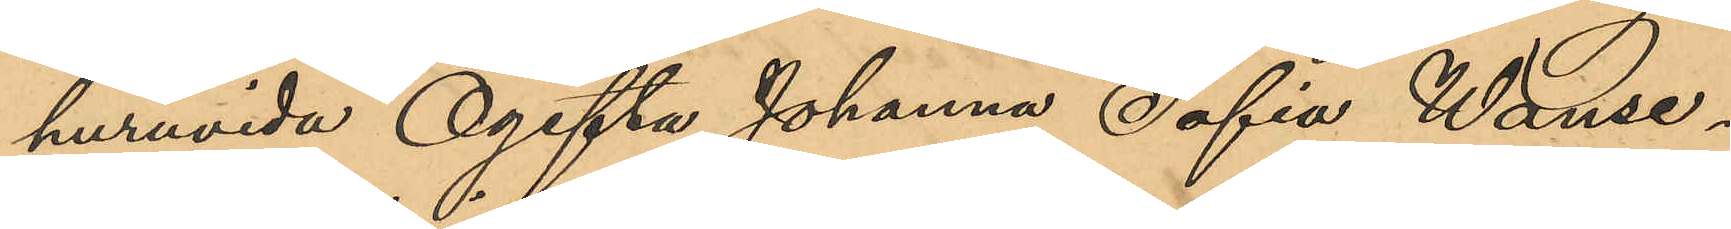huruvida Ogifta Johanna Sofia Wanse¬
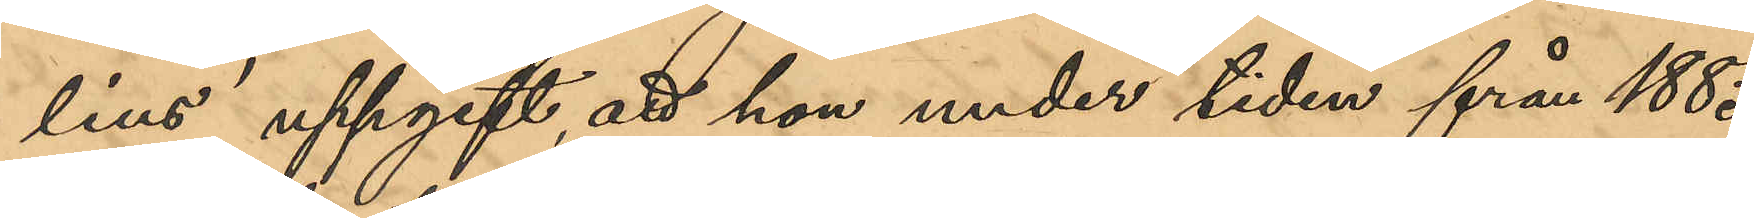lius uppgift, att hon under tiden från 1885
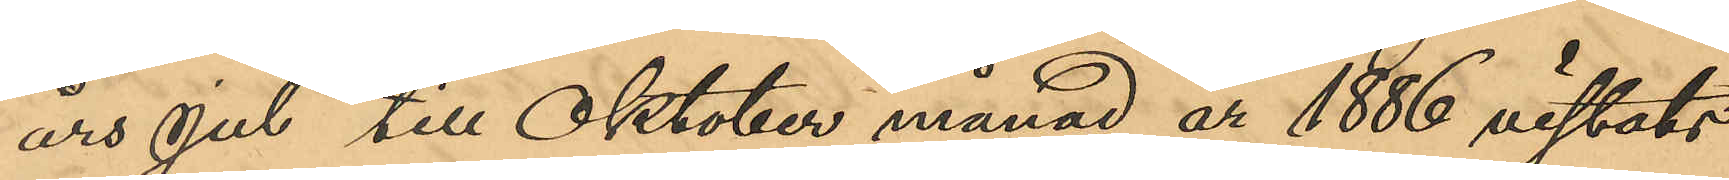års jul till Oktober månad år 1886 vistats
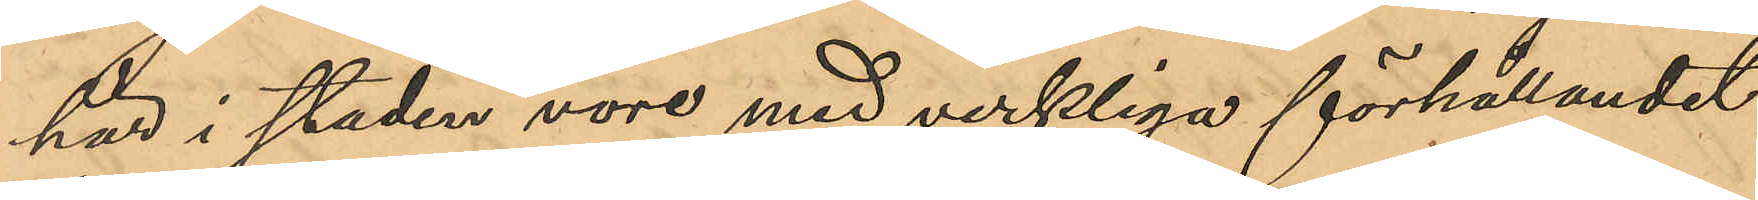här i staden vore med verkliga förhållandet
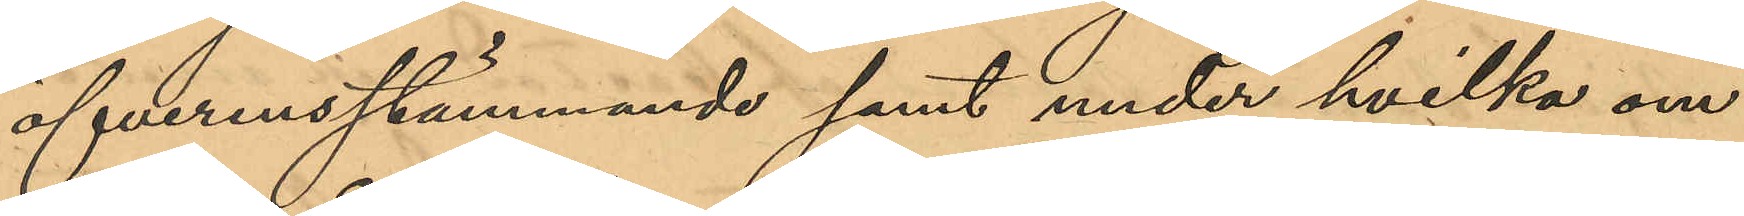öfverensstämmande samt under hvilka om¬
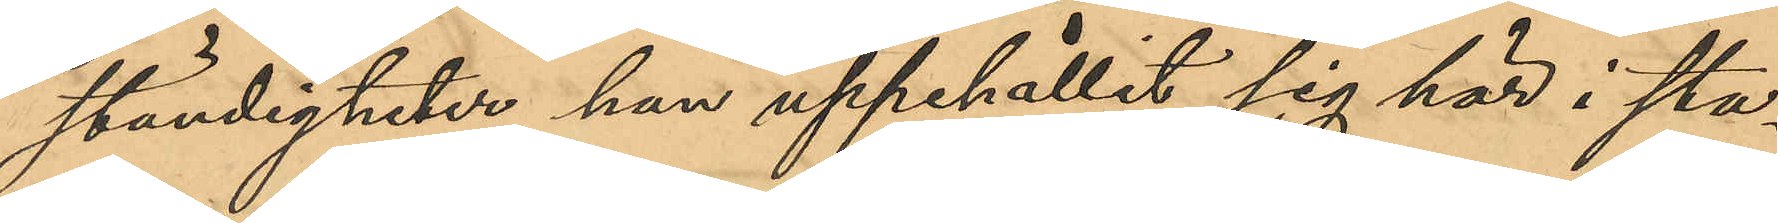ständigheter hon uppehållit sig här i sta¬
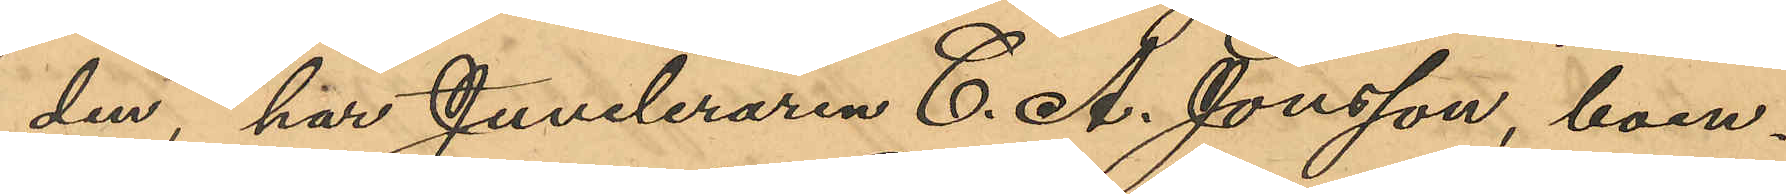den, har Juveleraren C. A. Jonsson, boen¬
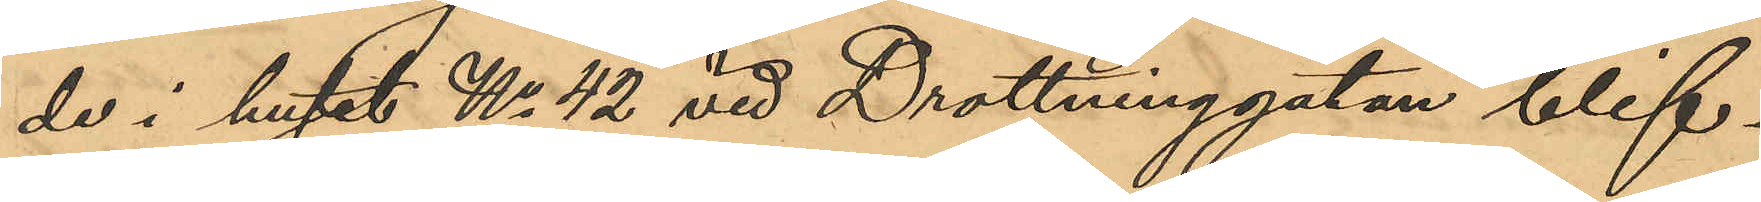de i huset No 42 vid Drottninggatan blif¬
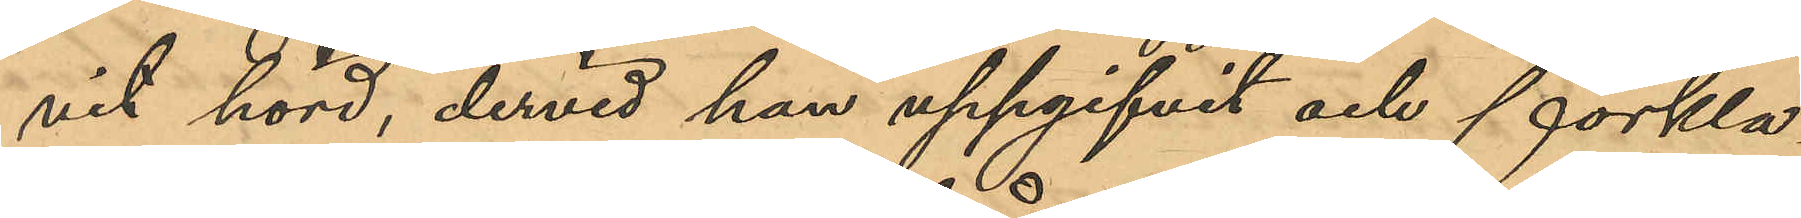vit hörd, dervid han uppgifvit och förkla¬
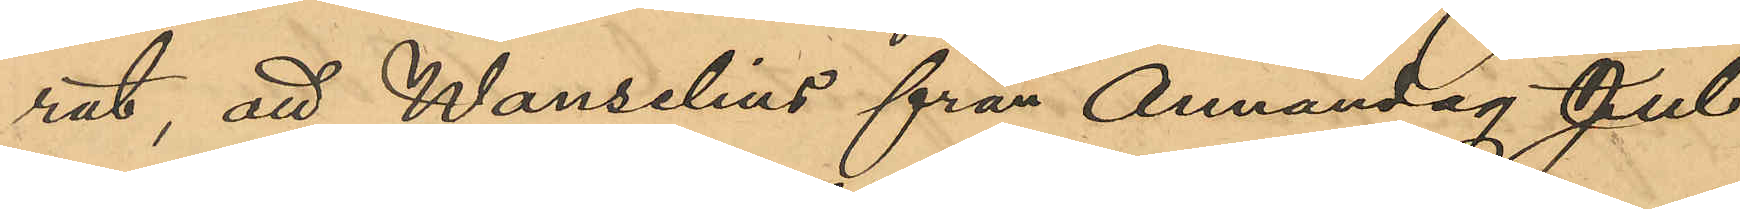rat, att Wanselius från Annandag Jul
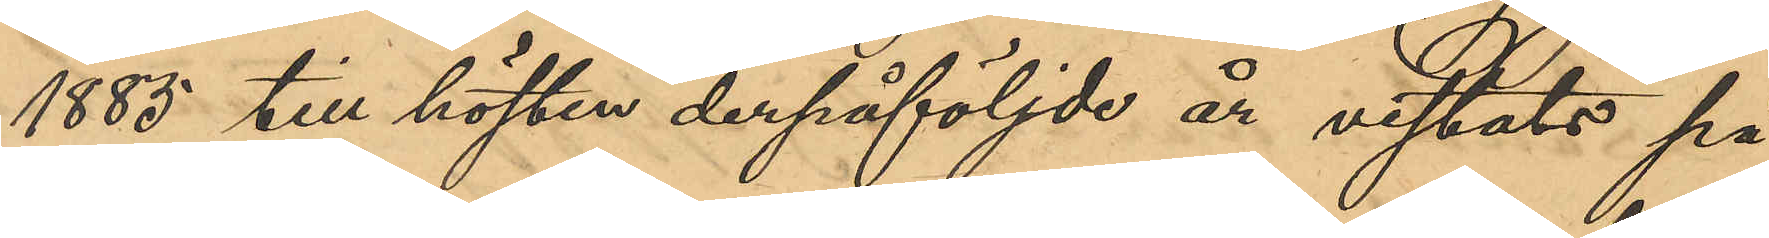1885 till hösten derpåföljde år vistats på
